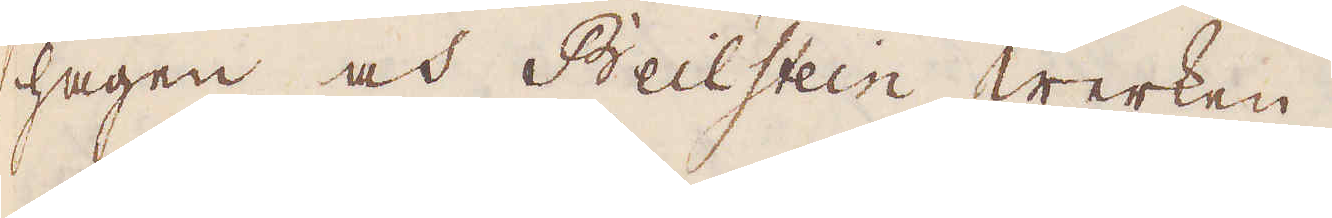hagen och Beilstein Werken.
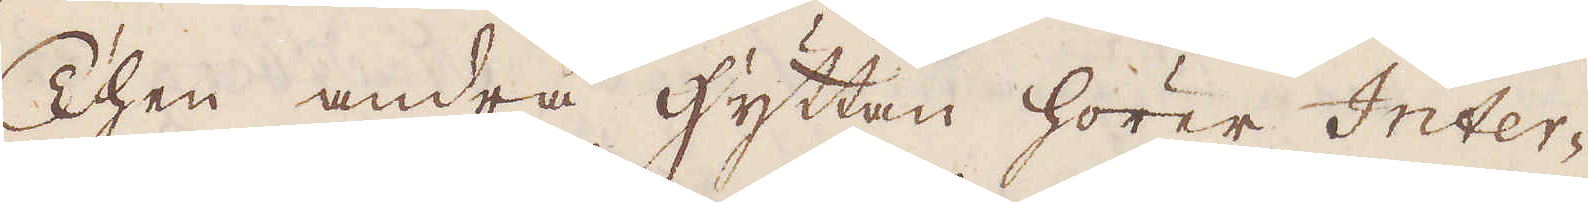Then andra hyttan hörer Inter-
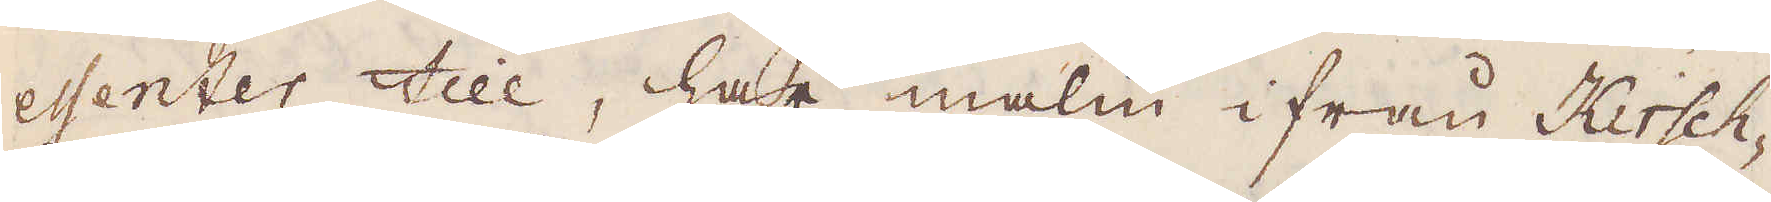essenter till, har malm ifrån Kirsch-
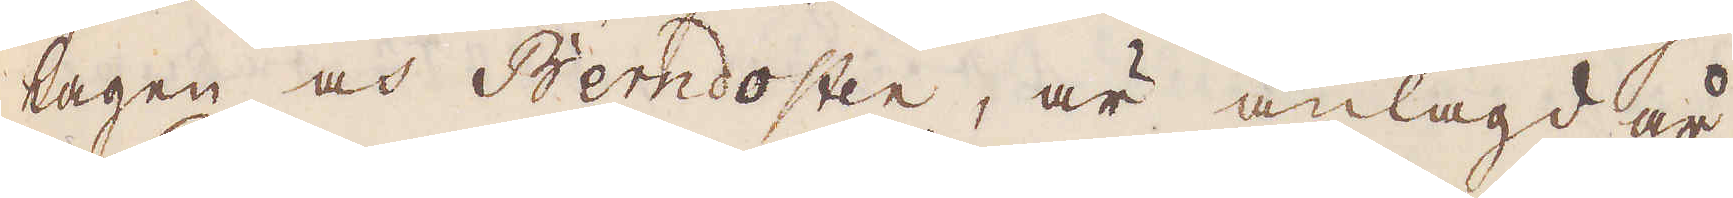hagen och Berndosten, är anlagd år
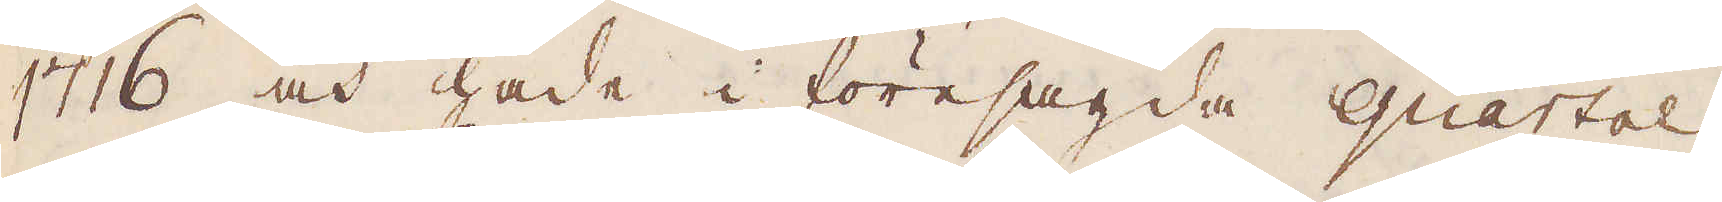1716 och hade i föresagda quartal
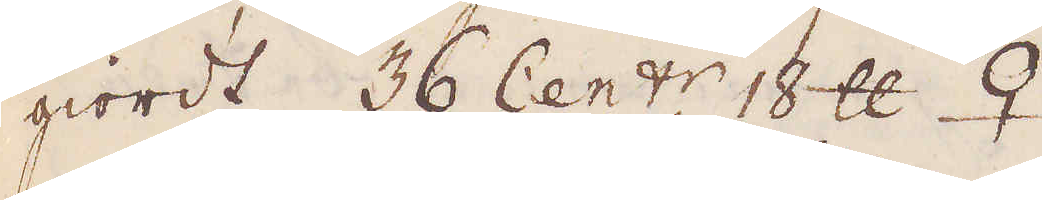giordt 36 Cent:r 18 skålpund ♀.
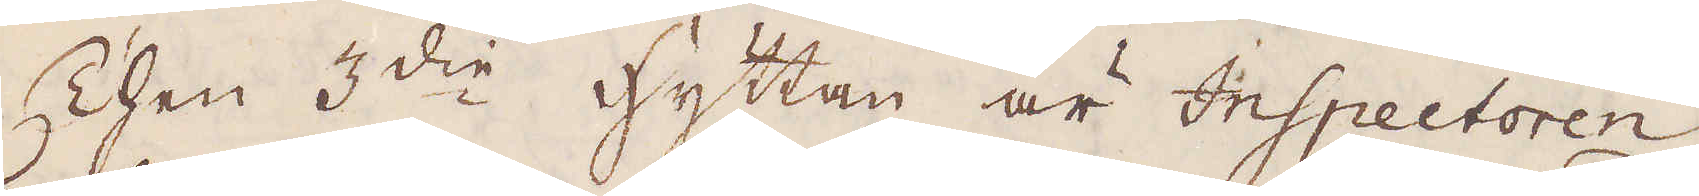Then 3:die hyttan är Inspectoren
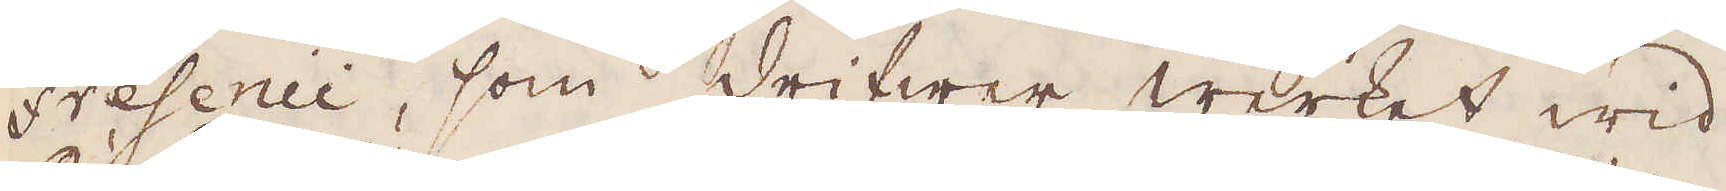Fresenii, som drifwer Werket wid
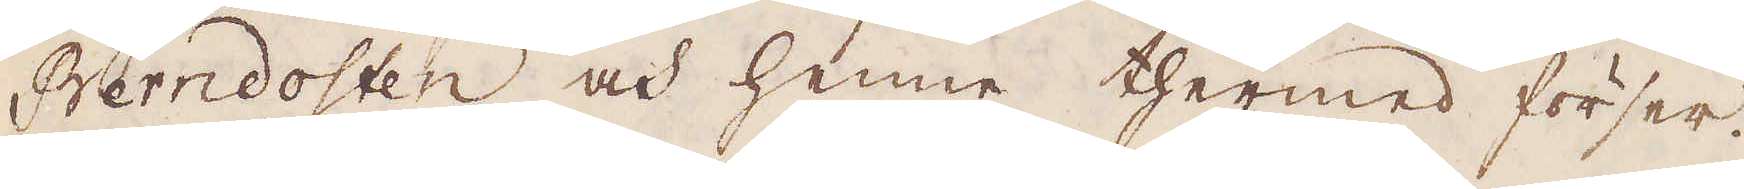Berndosten och henne thermed förser.
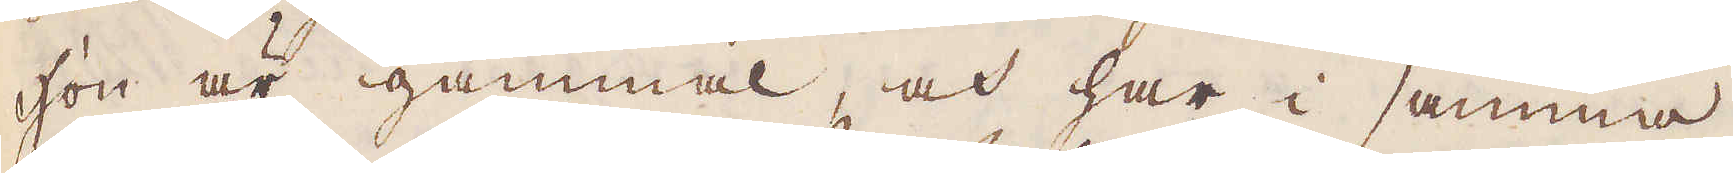Hon är gammal, och har i samma
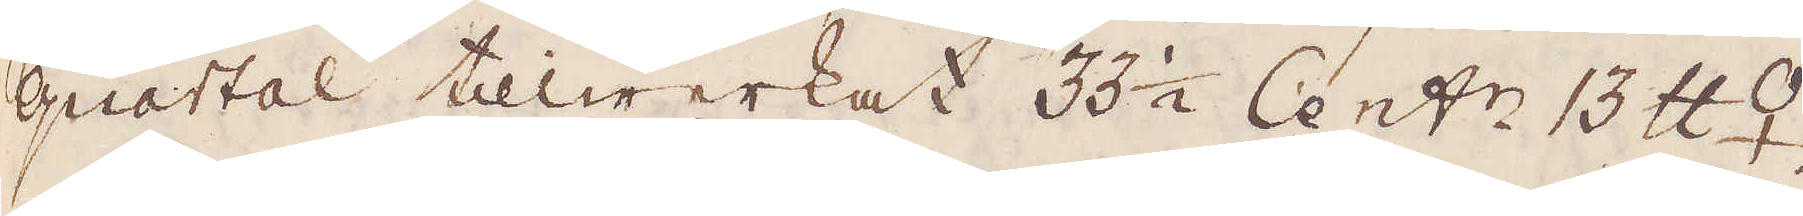quartal tillwerkat 33 1/2 Cent:r 13 skålpund ♀.
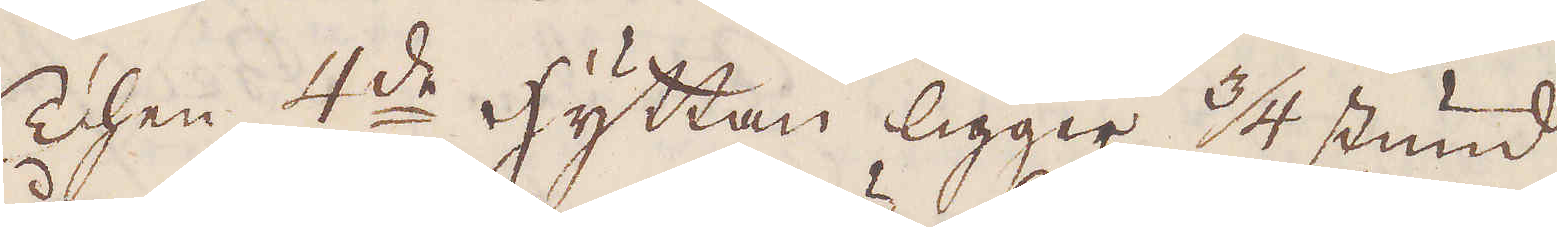Then 4:de hyttan ligger 3/4 stund
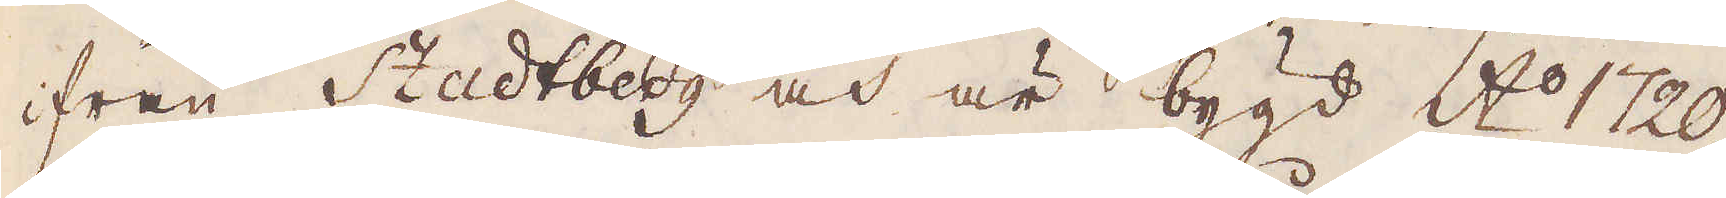ifrån Stadtberg och är bygd A:o 1720
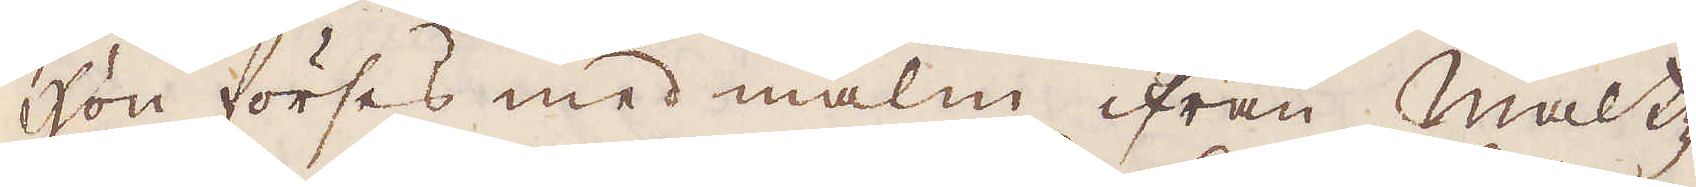Hon förses med malm ifrån Maltz-
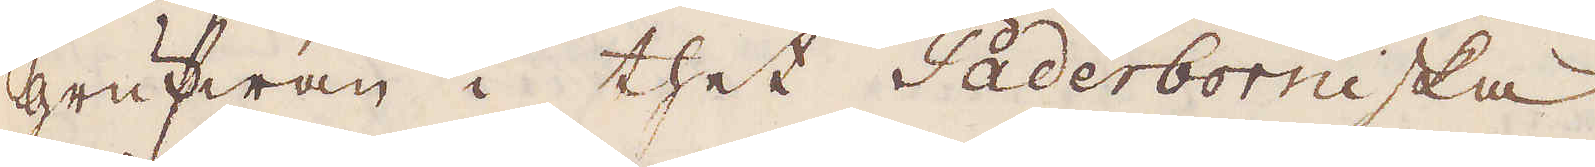grufwan i thet Paderbormiska
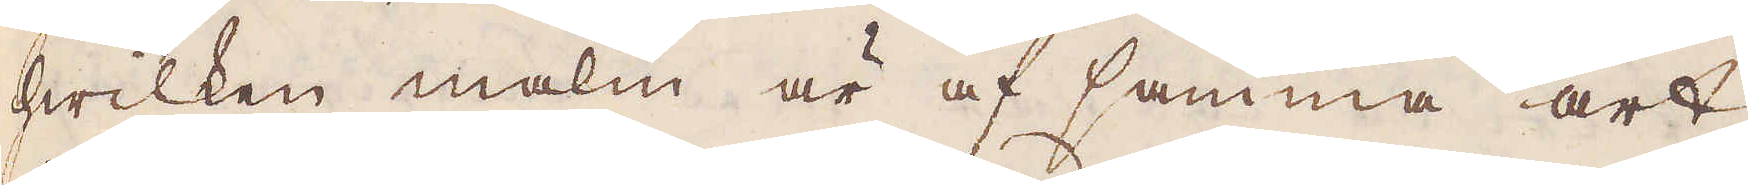hwilken malm är af samma art
